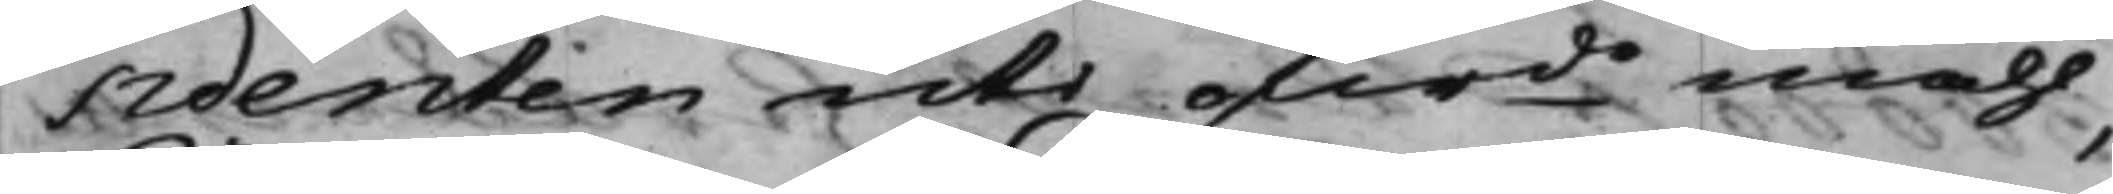sidenten uti ofwde måhl,
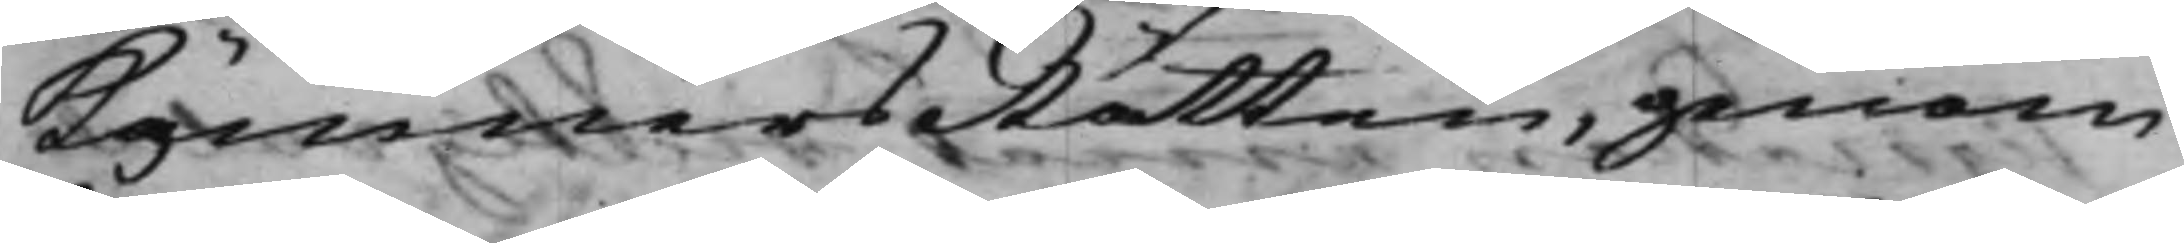KämnersRätten, genom
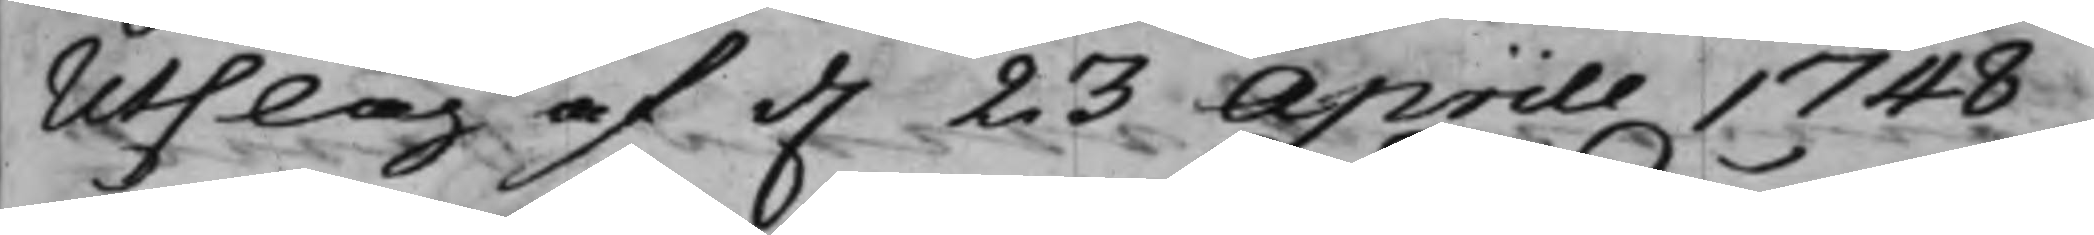Utslag af d. 23 Aprill 1748,
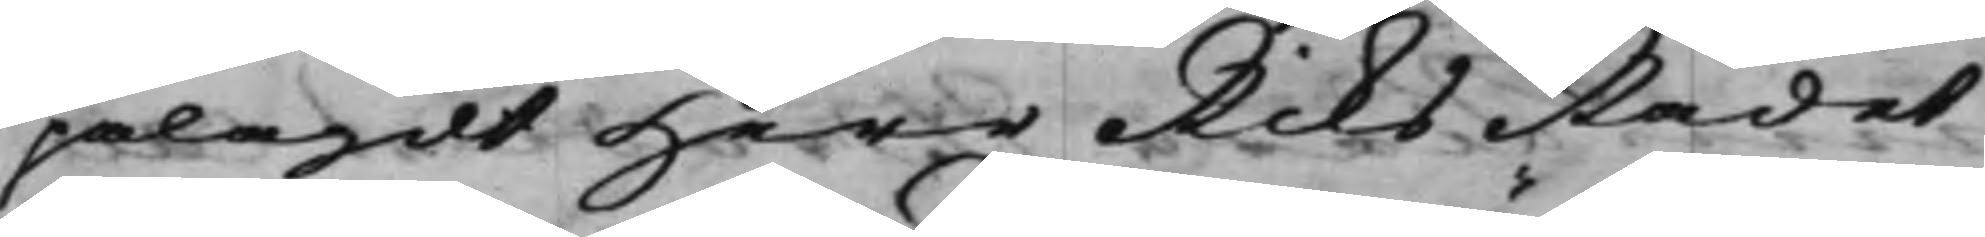pålagdt Herr RiksRådet
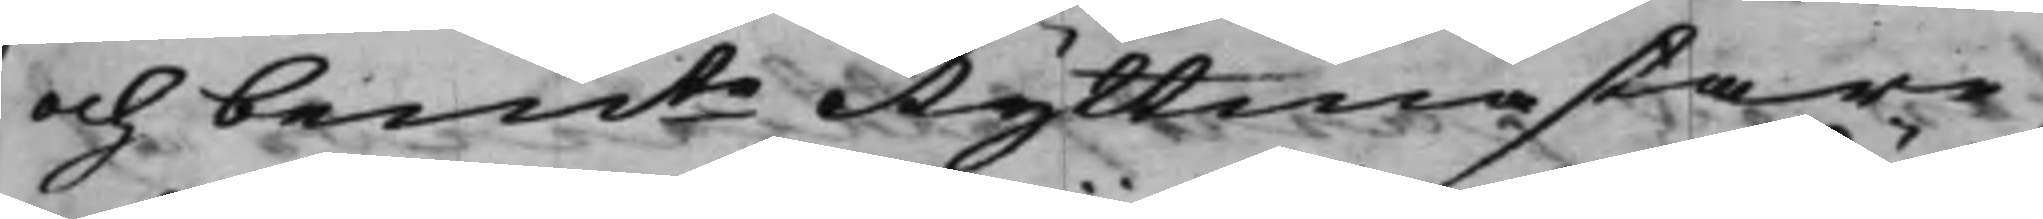och bemte Ryttmästare,
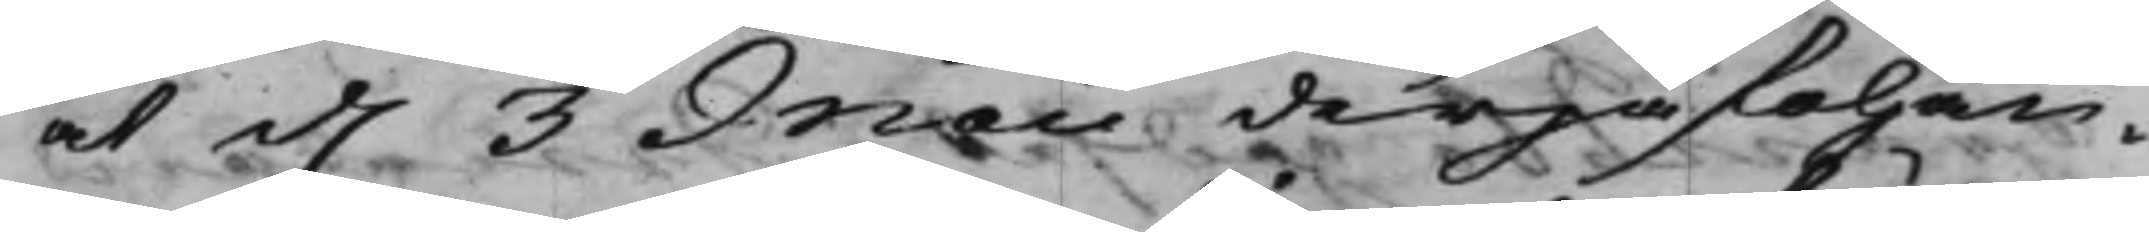at d. 3 Maii derpåfölljan¬
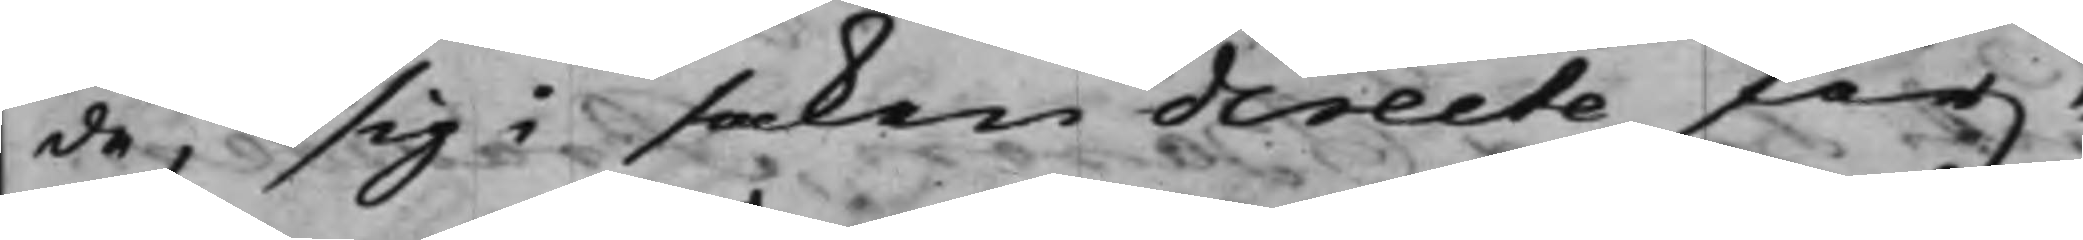de, sig i saken directe för¬
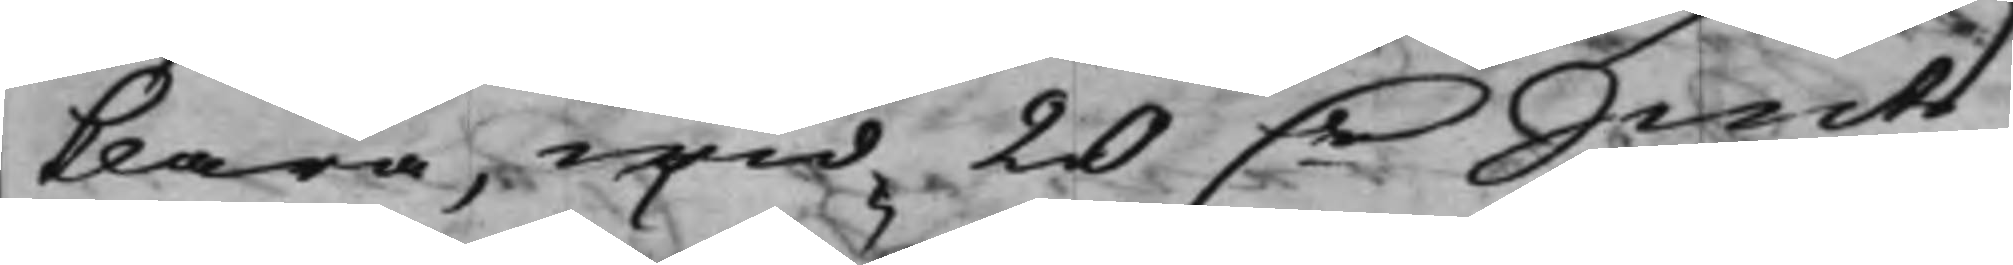klara, wid 20 D.r Smts
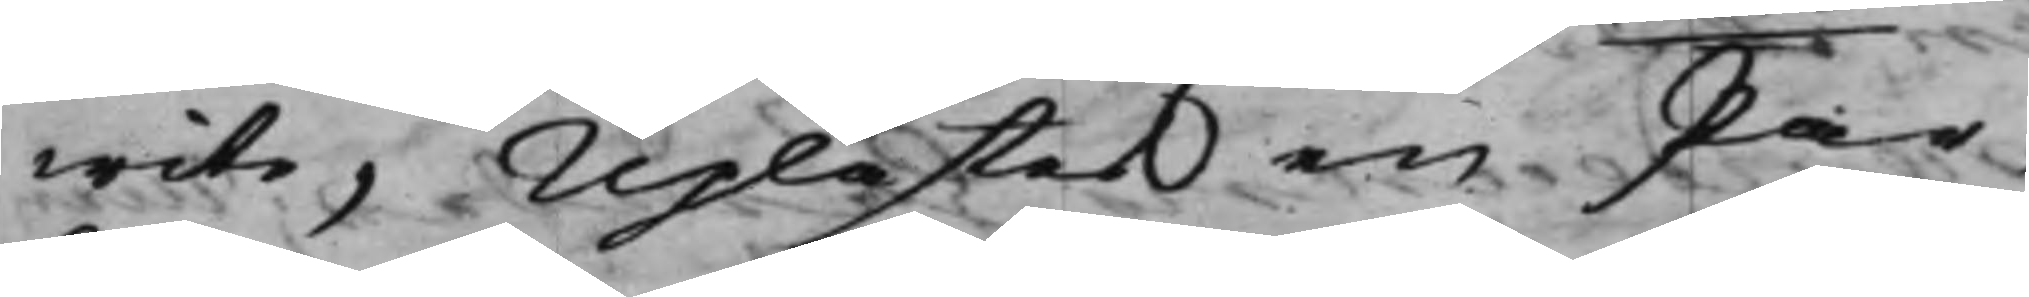wite, Uplästes en Par¬
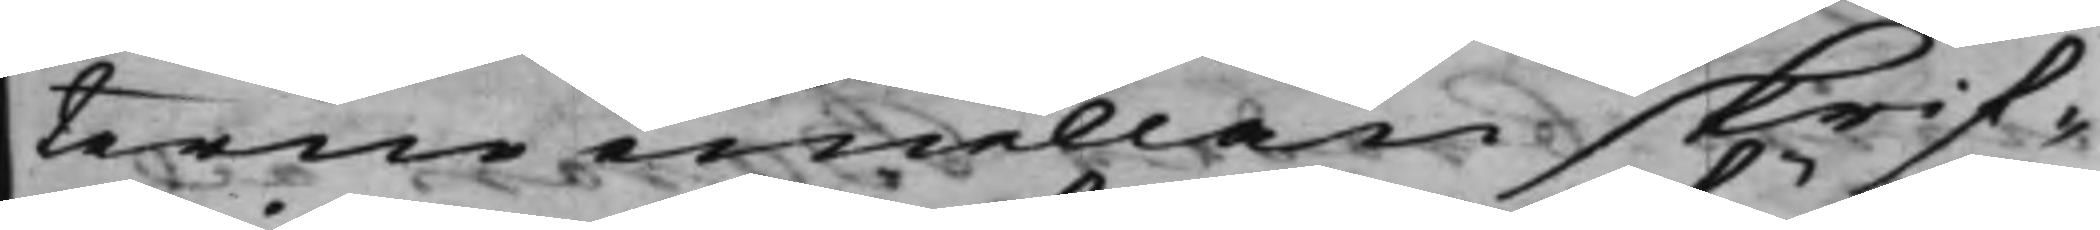terne emellan skrif¬
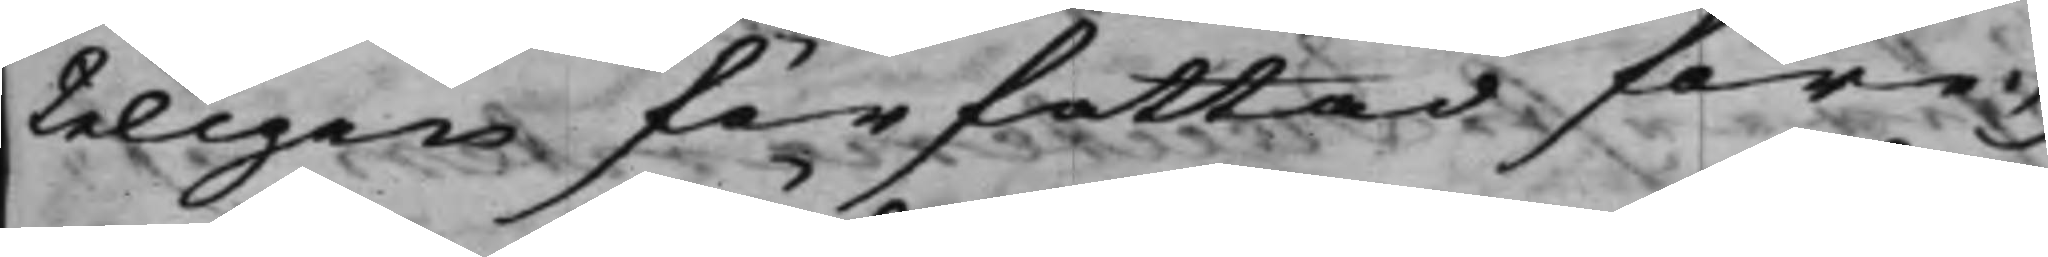teligen författad före¬
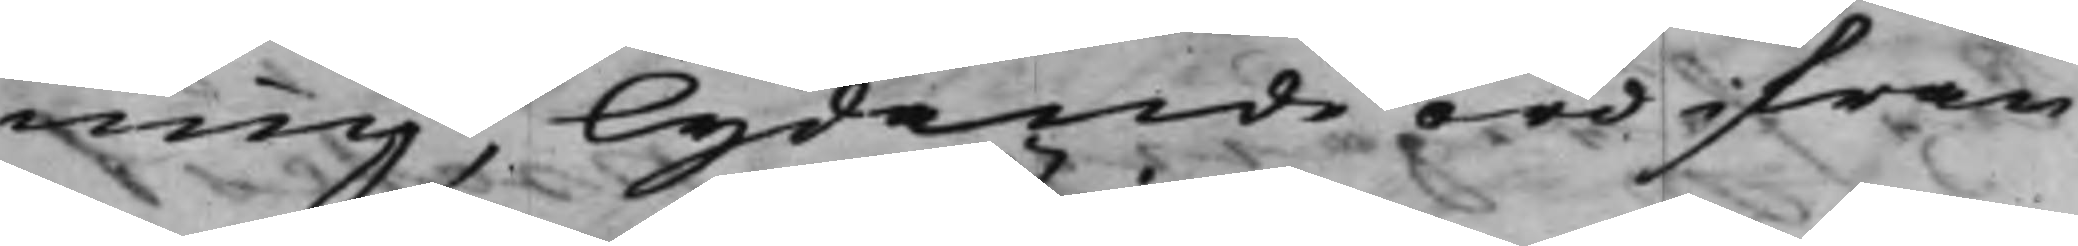ning, lydande ord ifrån
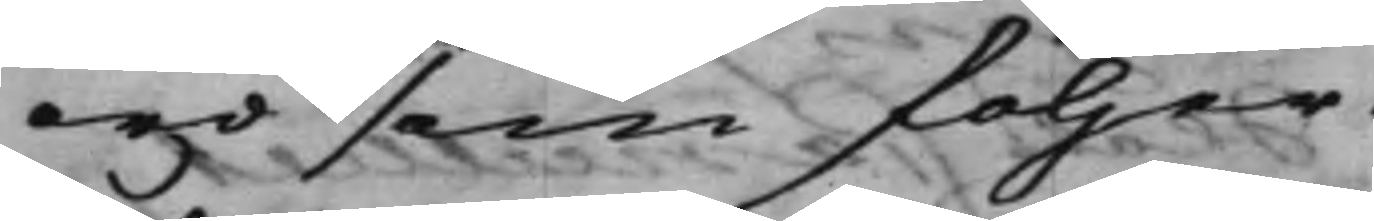ord som följer:
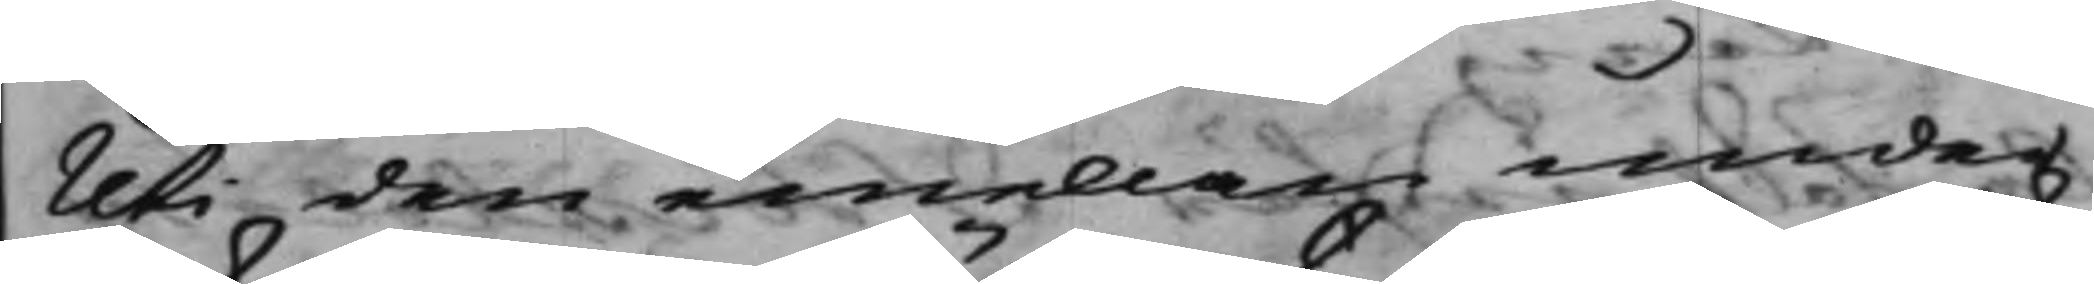Uti den emellan under¬
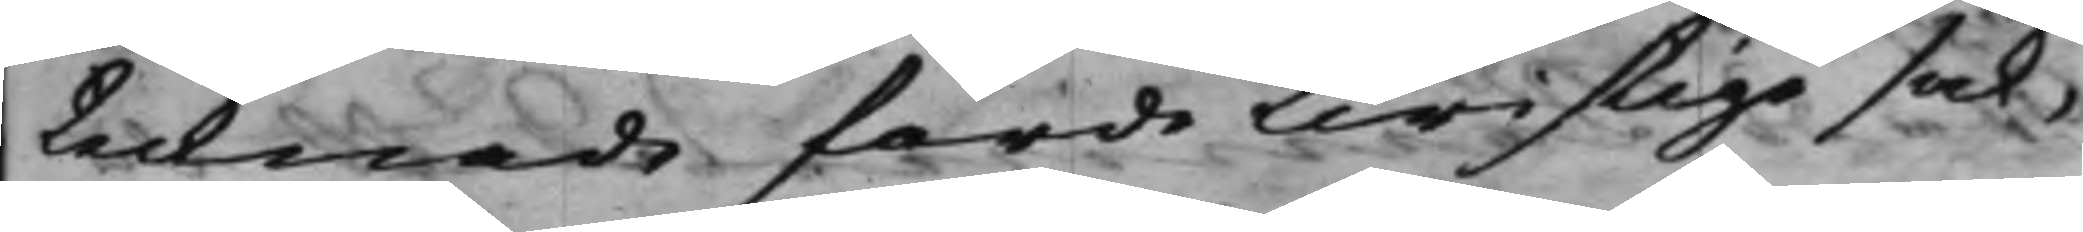tecknade förde twistige sak,
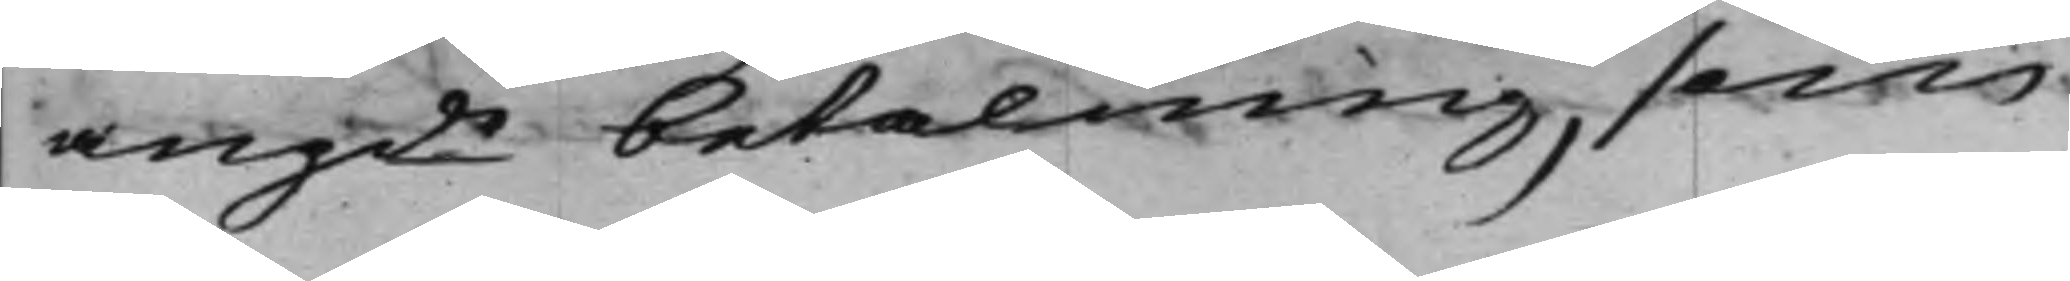angde betalning, som
